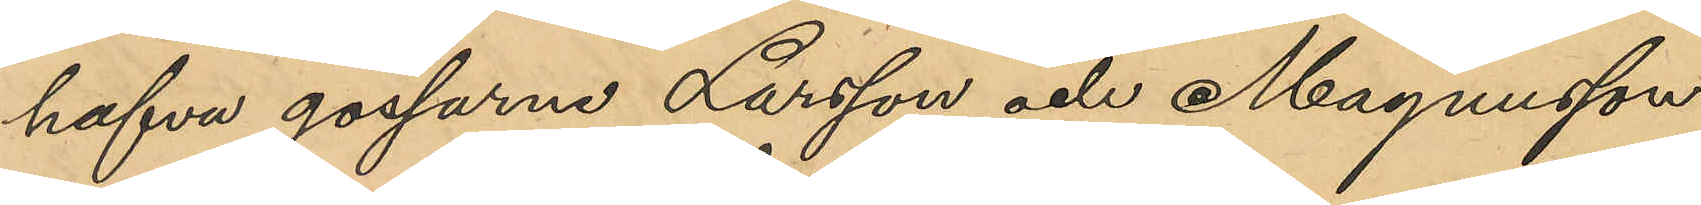hafva gossarne Larsson och Magnusson
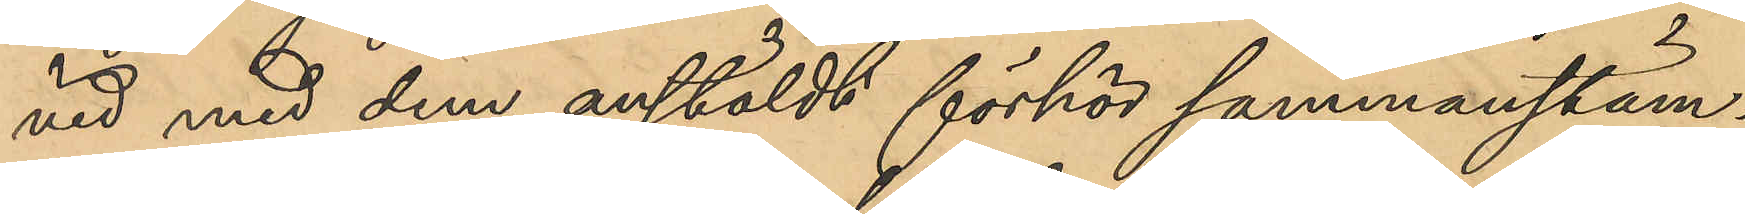vid med dem anstäldt förhör sammanstäm¬
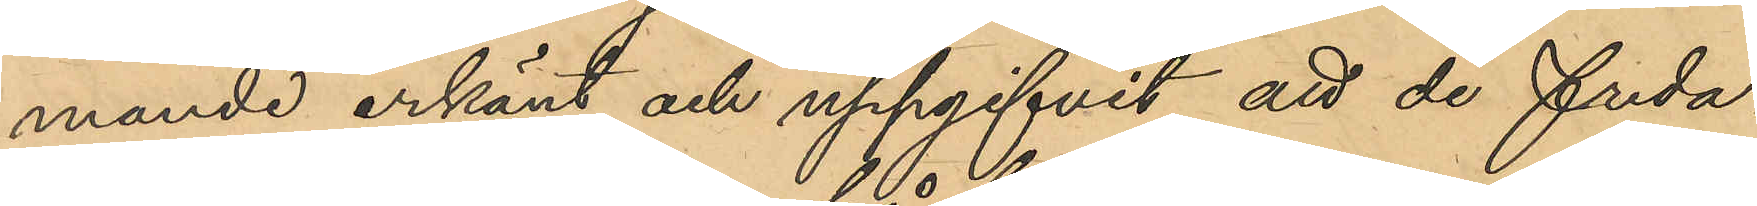mande erkänt och uppgifvit att de freda¬
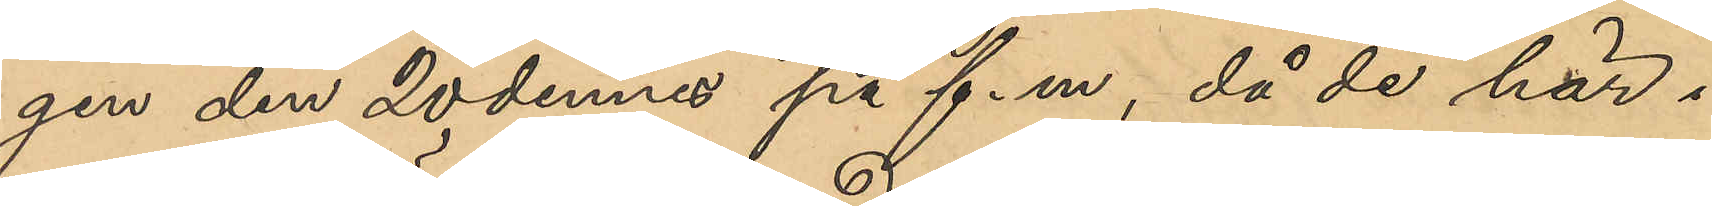gen den 20 dennes på f.m., då de här i
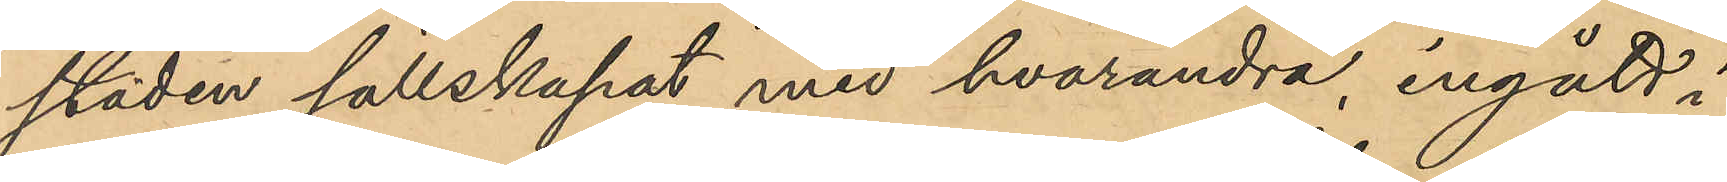staden sällskapat med hvarandra, ingått i
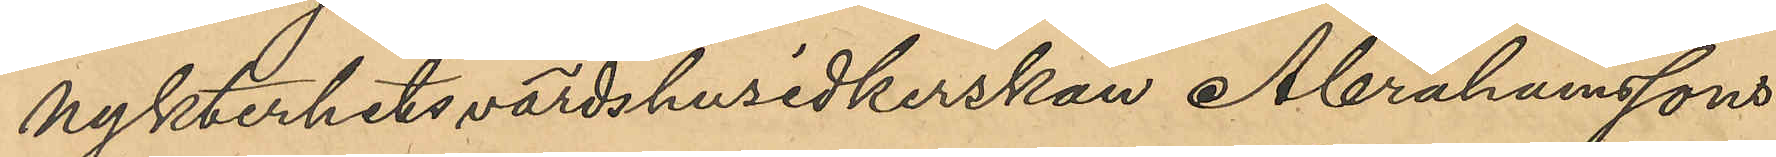Nykterhetsvärdshusidkerskan Abrahamssons
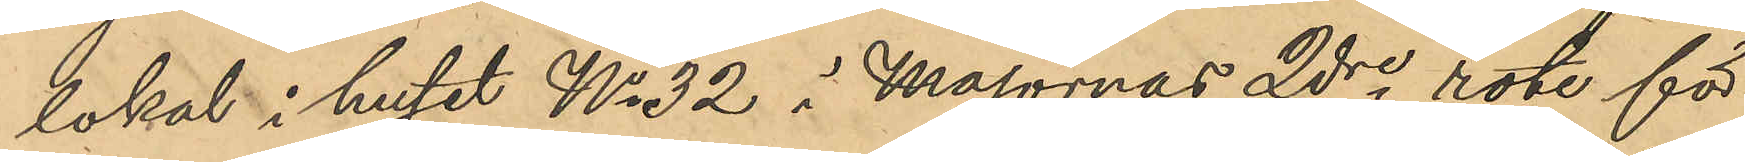lokal i huset No 32 i Majornas 2dre rote för
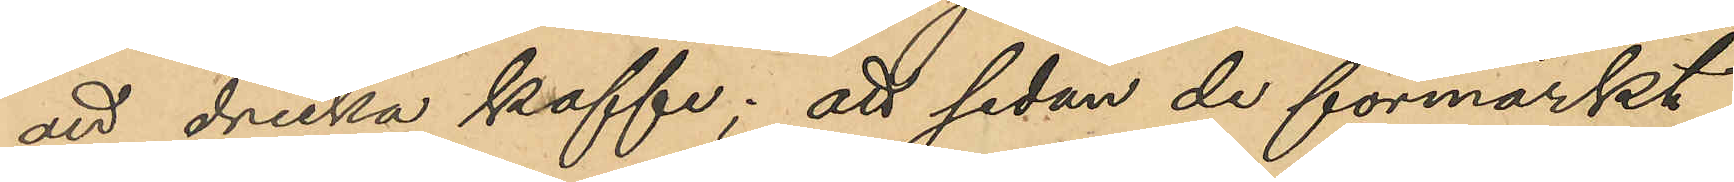att dricka kaffe; att sedan de förmärkt
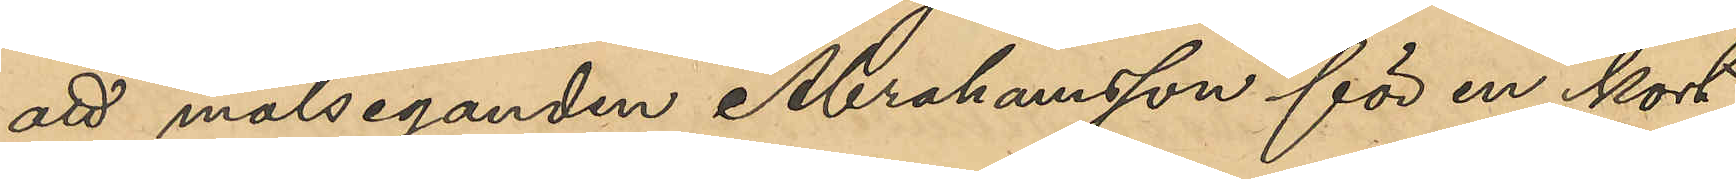att målseganden Abrahamsson för en kort
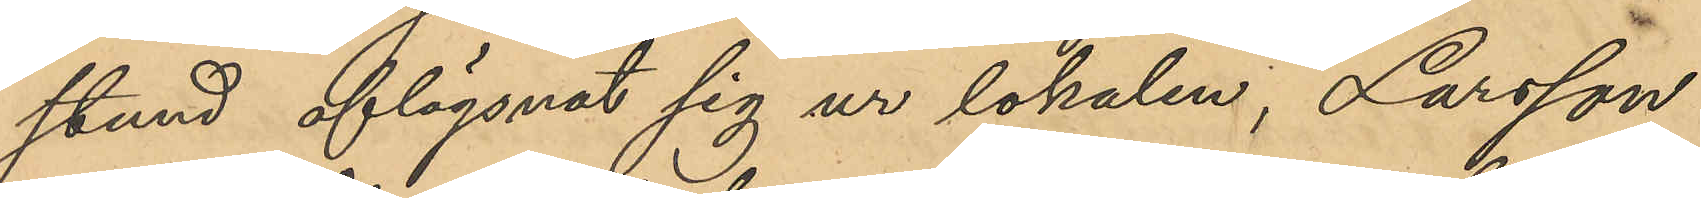stund aflägsnat sig ur lokalen, Larsson
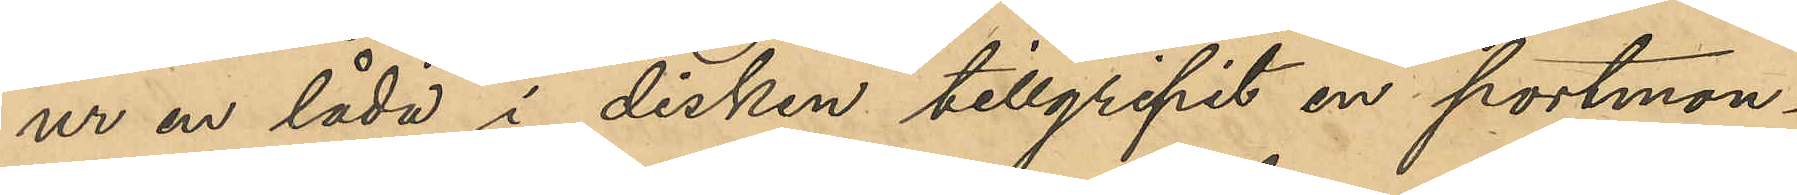ur en låda i disken tillgripit en portmon¬
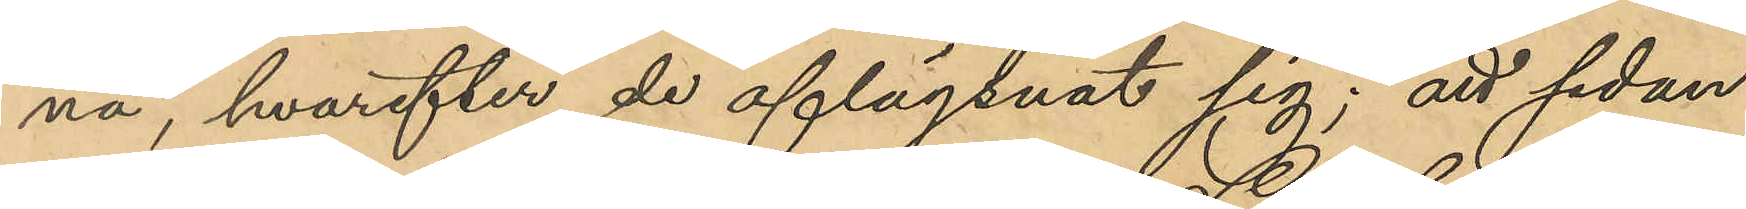nä, hvarefter de aflägsnat sig; att sedan
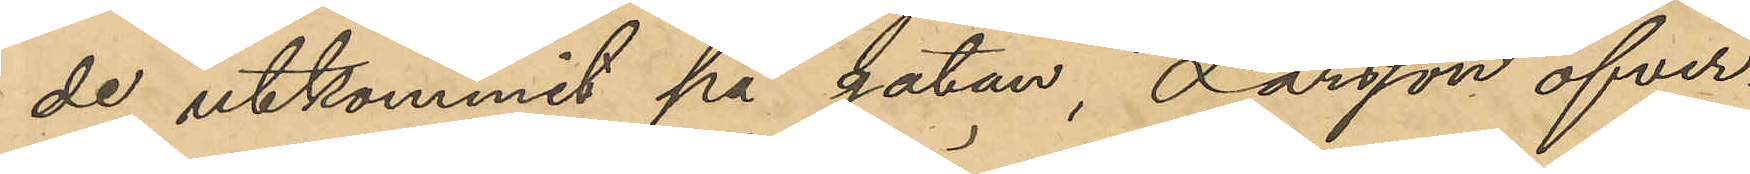de utkommit på gatan, Larsson öfver¬
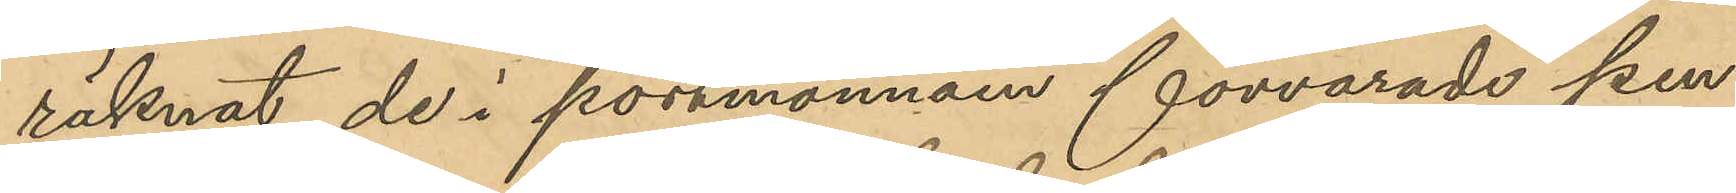räknat de i portmonnäen förvarade pen¬
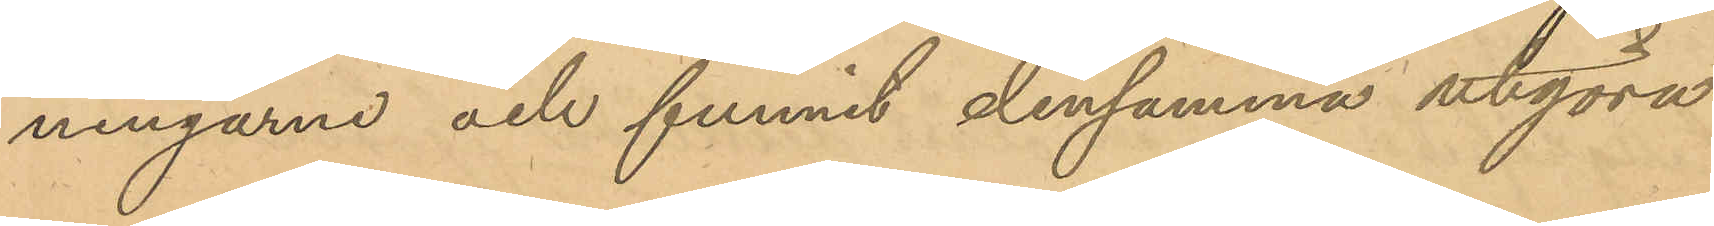ningarne och funnit densamma utgöra
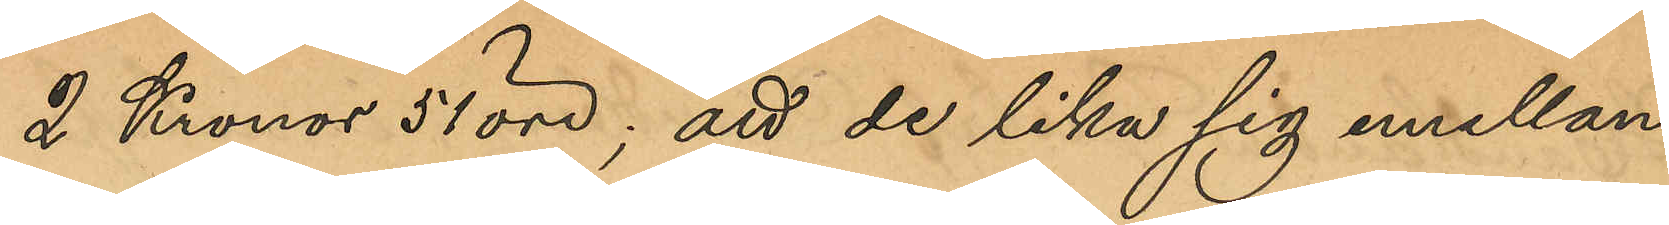2 Kronor 51 öre; att de lika sig emellan
